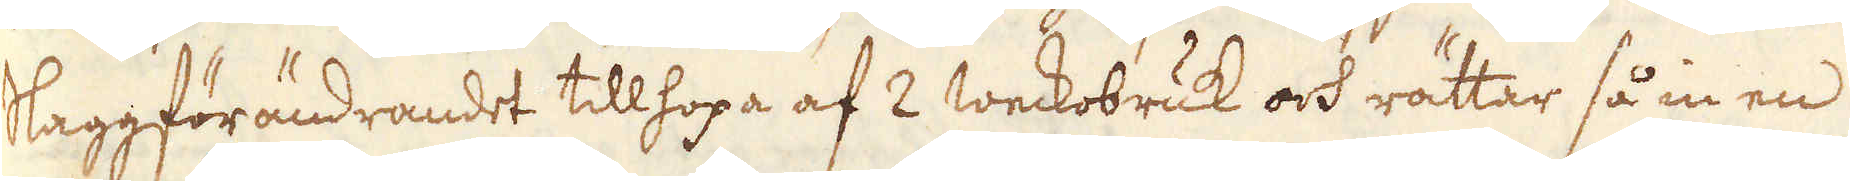Slaggförändrandet tillhopa af 2 weckobruk och rättar så in en
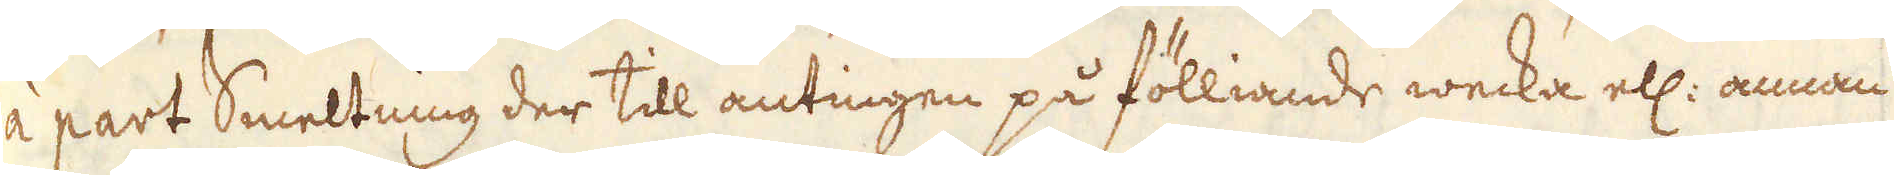à part Smeltning der till antingen på fölliande wecka ell: annan
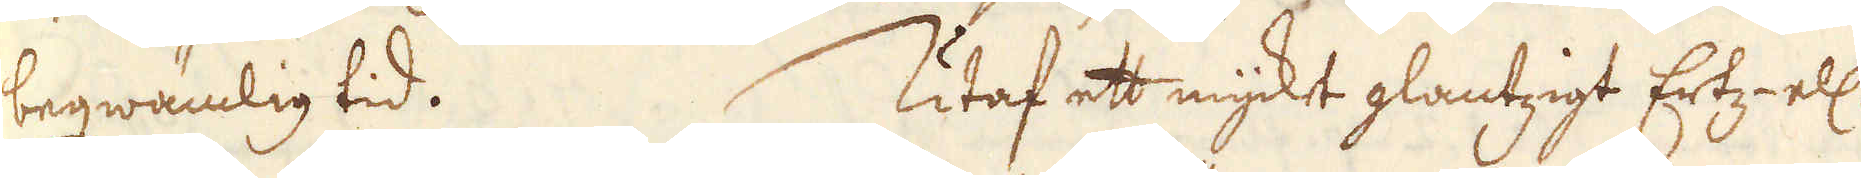beqwämlig tid. Utaf ett myckt glantzigt Ertz- ell:
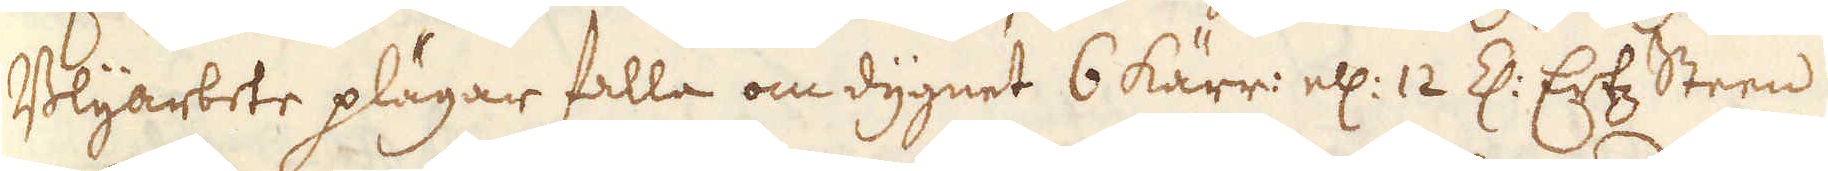Blyarbete plägar falla om dygnet 6 kärr: ell: 12 Z: Ertz Steen.
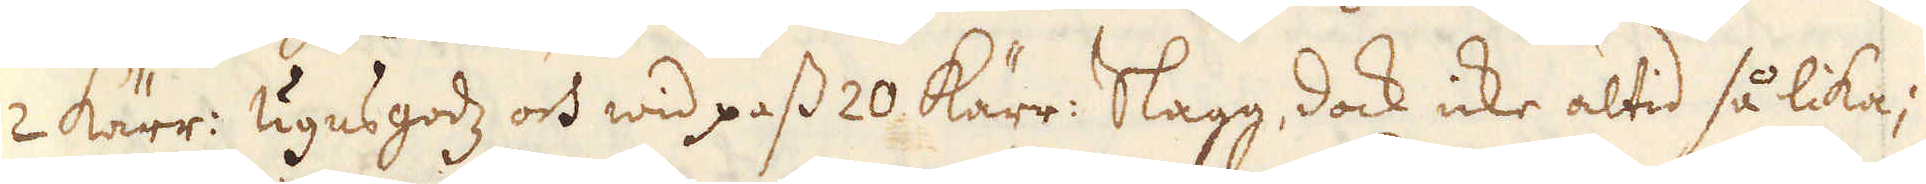2 kärr: Ugnsgodz och wid pass 20 Kärr: Slagg, dock icke altid så lika;
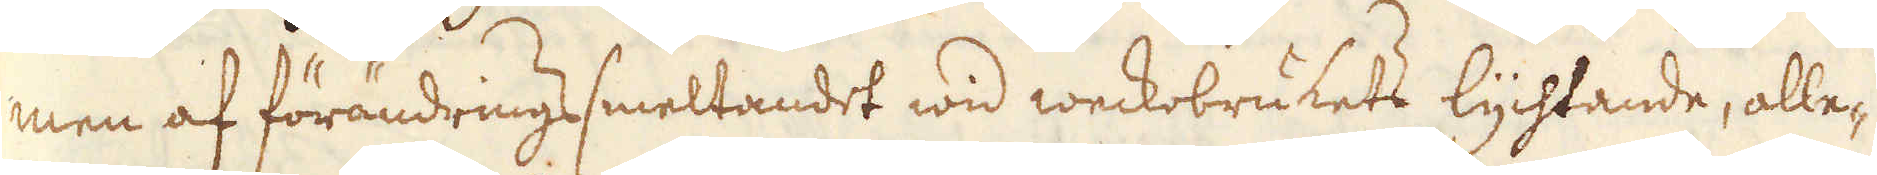men af förändringssmeltandet wid weckobrukets lychtande, alle-
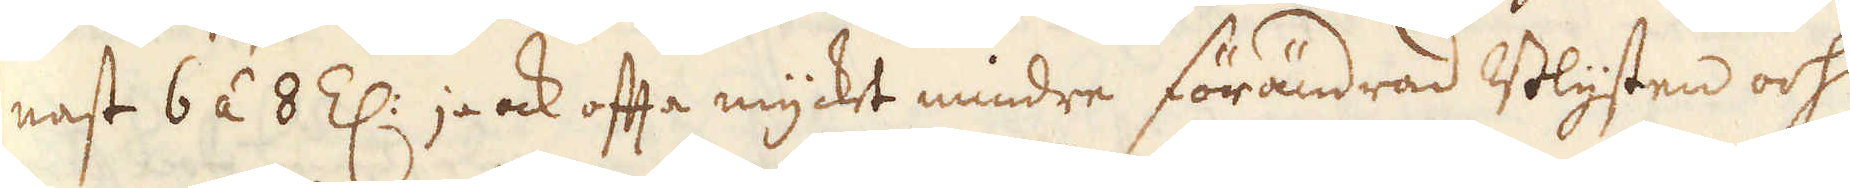nast 6 á 8 Z: ja ock ofta mycket mindre förändrad Blysten och
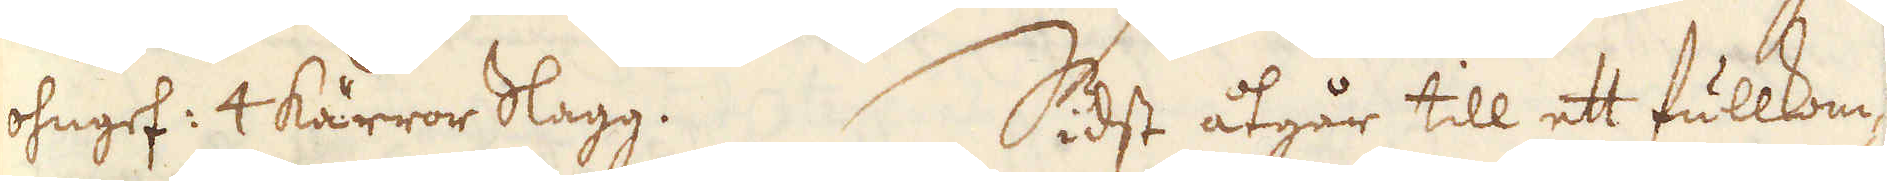ohngef: 4 kärror Slagg. Sidst åtgår till ett fullkom-
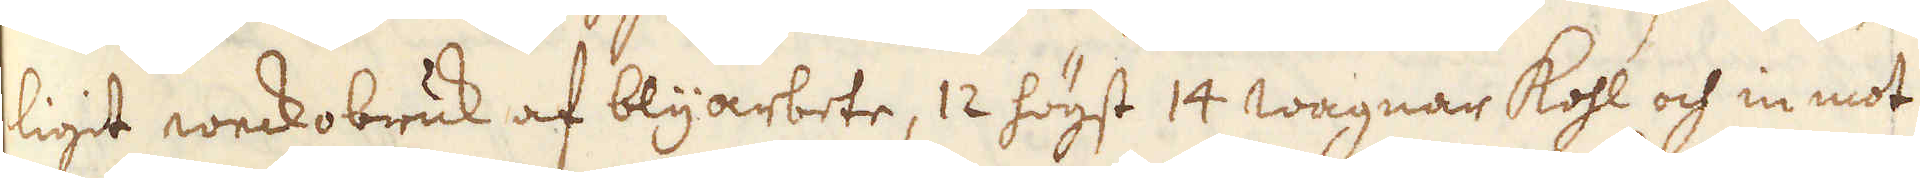ligit weckobruk af blyarbete, 12 högst 14 wagnar kohl och in mot
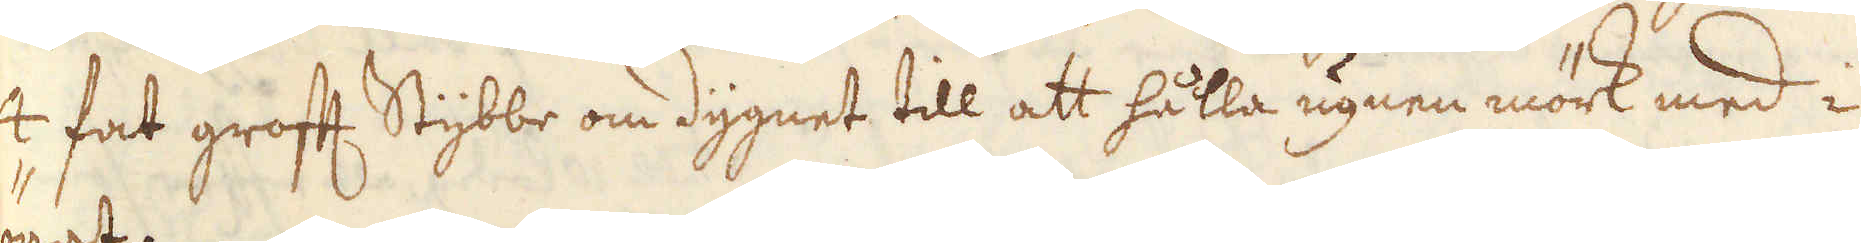4 fat groft Stybbe om dygnet till att hålla ugnen mörk med i
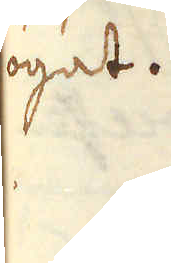ögat.
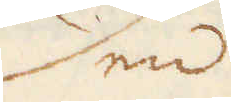Den
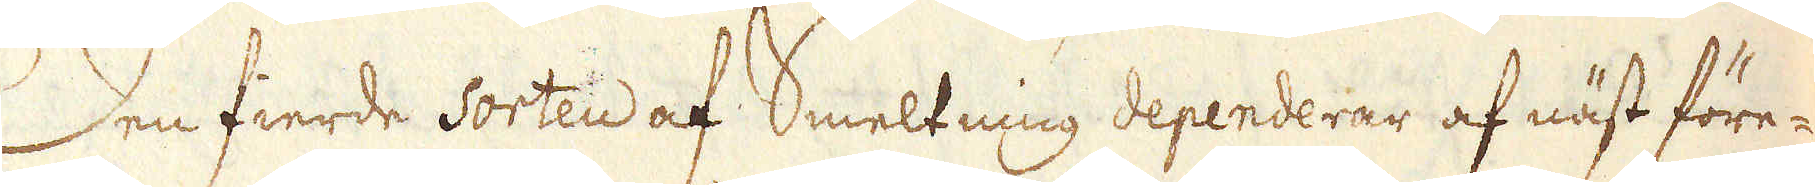Den fierde sorten af Smeltning dependerar af näst före-
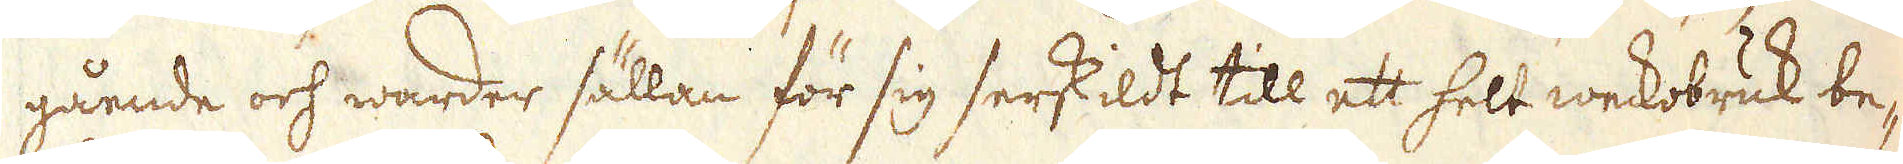gående och warder sällan för sig serskildt till ett helt weckobruk be-
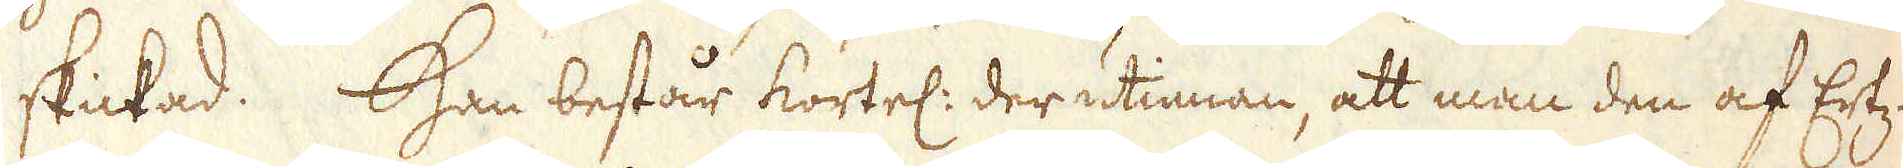skickad. Han består kortel: der utinnan, att man den af Ertz-
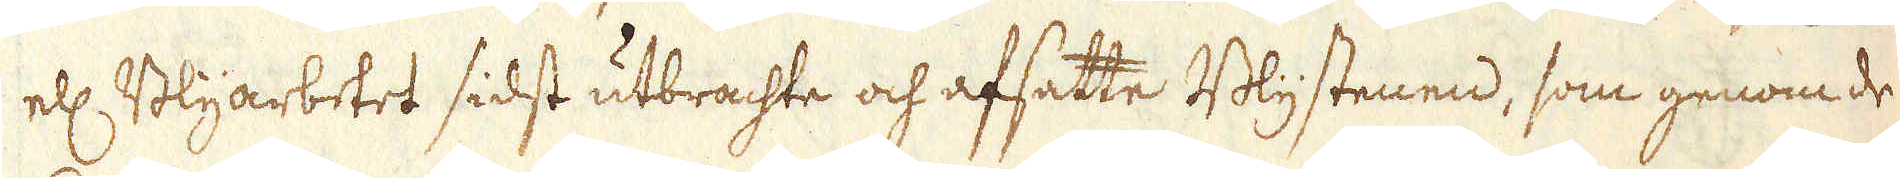ell: Blyarbetet sidst utbrachte och afsatte Blystenen, som genom de
